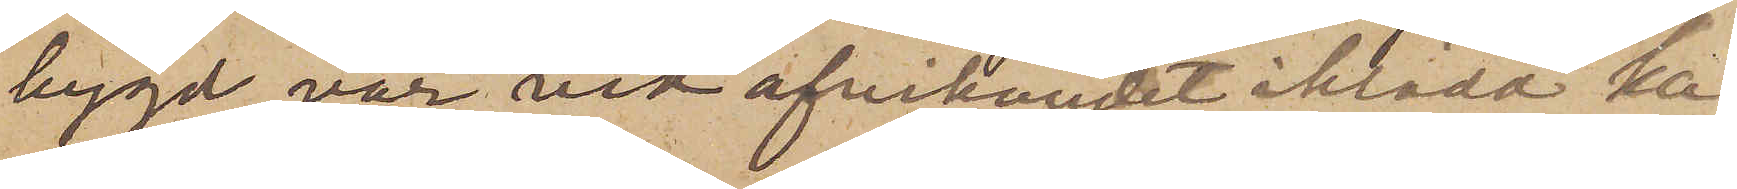bygd, var vid afvikandet iklädd ka¬
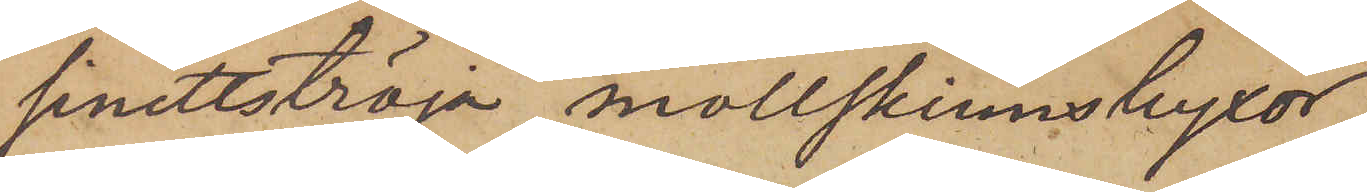sinettströja, mollskinnsbyxor,
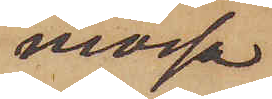mössa
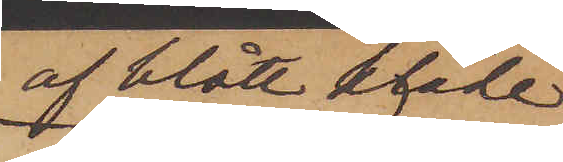af blått kläde
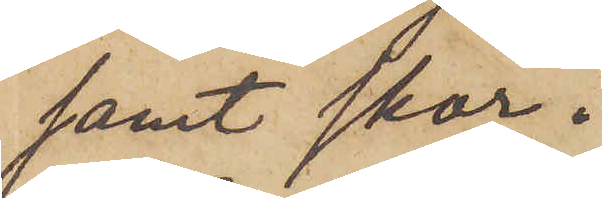samt skor.
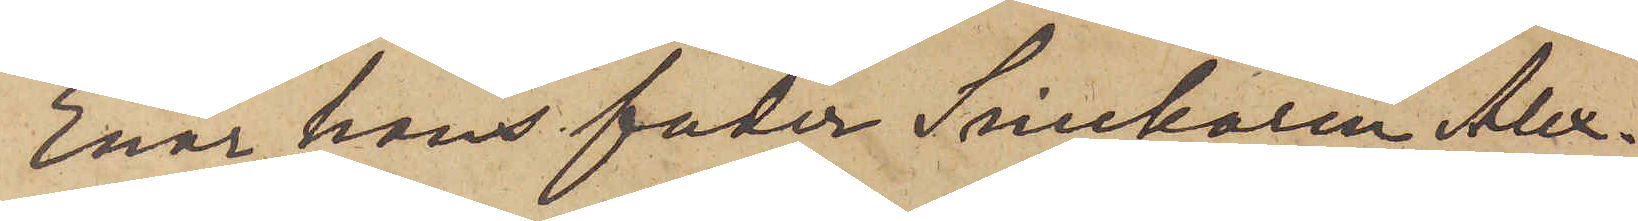Enär hans fader Snickaren Alex¬
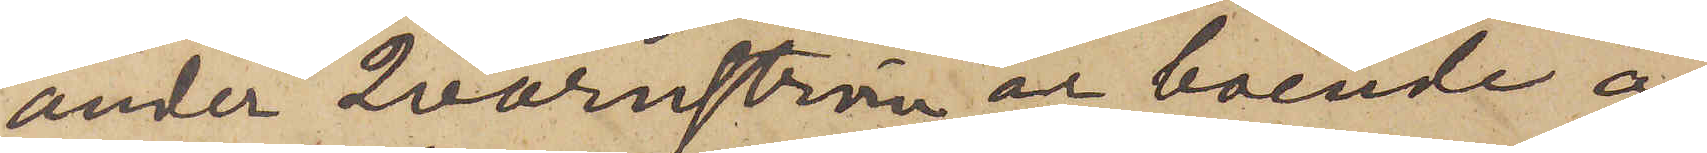ander Qvarnström är boende å
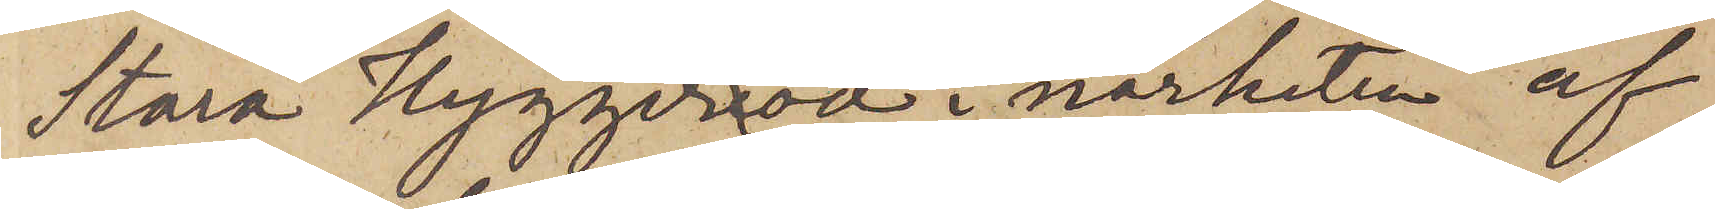Stora Hyggeröd i närheten af
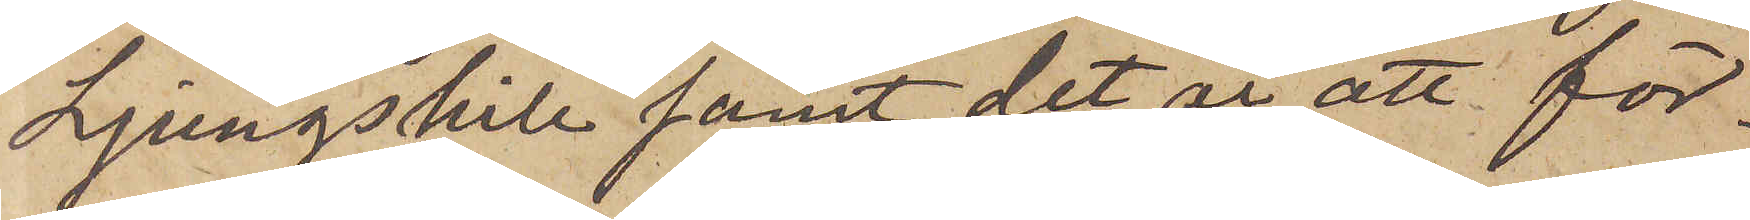Ljungskile samt det är att för¬
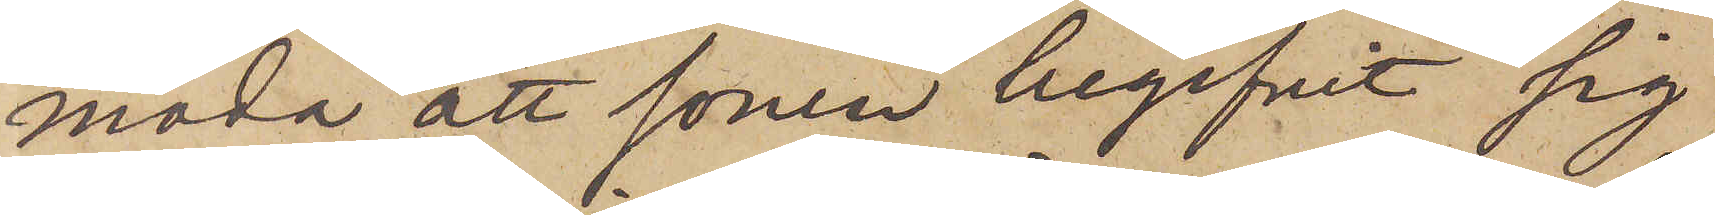moda att sonen begifvit sig
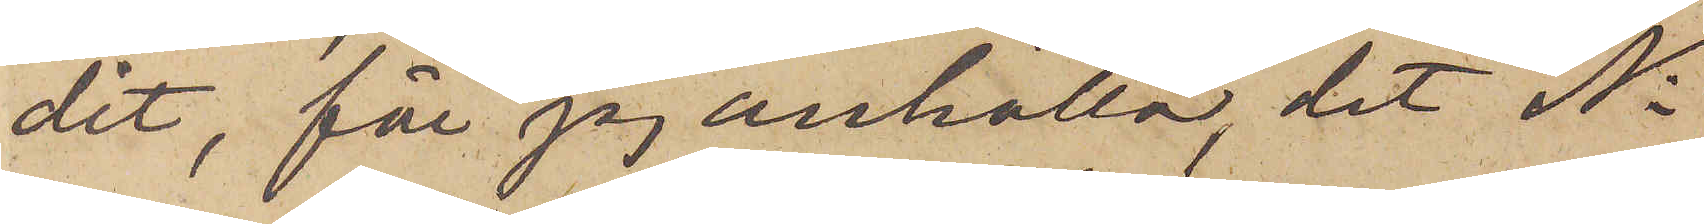dit, får jag anhålla, det Ni
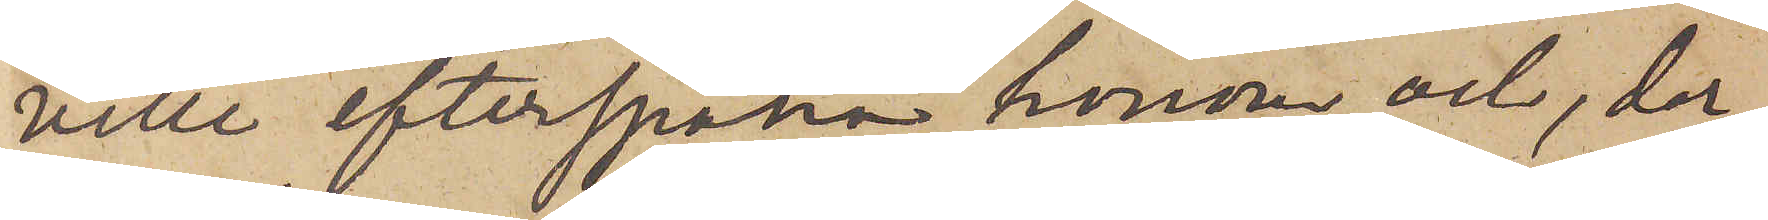ville efterspana honom och, der¬
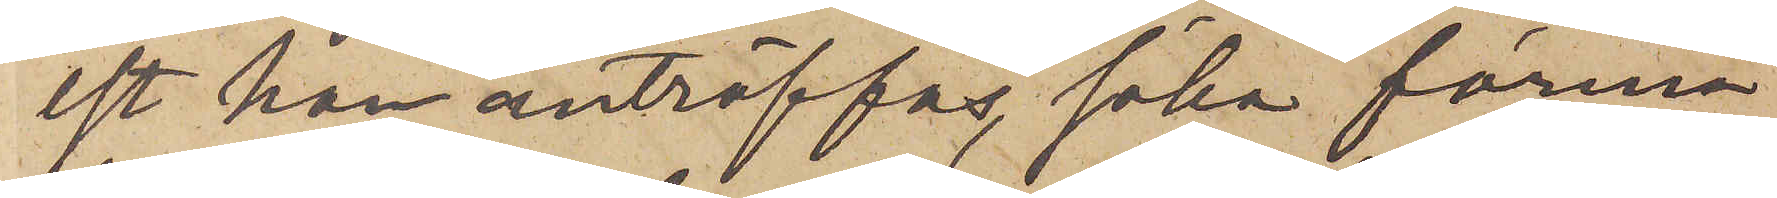est han anträffas, söka förmå
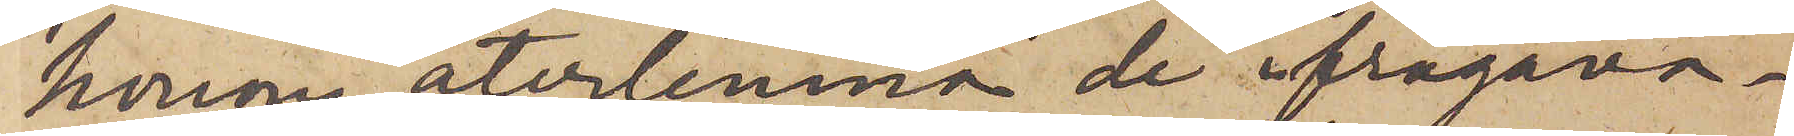honom återlemna de ifrågava¬
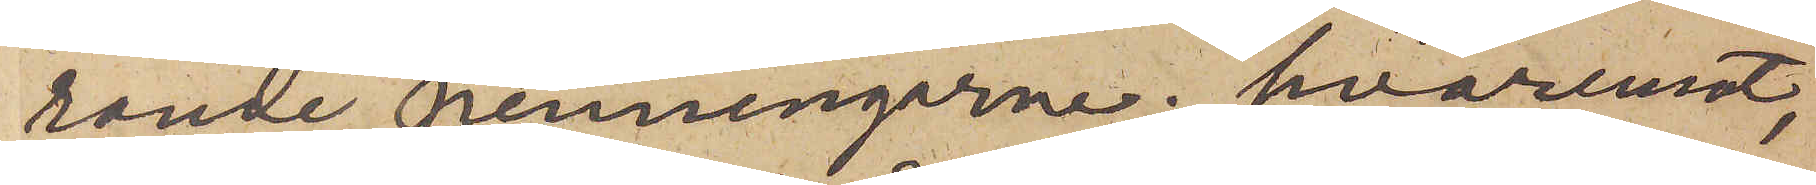rande penningarne; hvaremot,
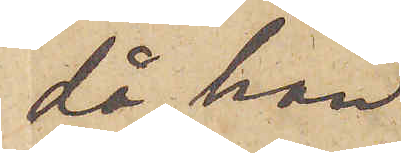då han
